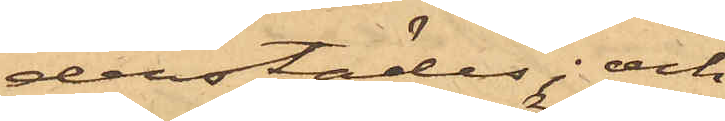derstädes; och
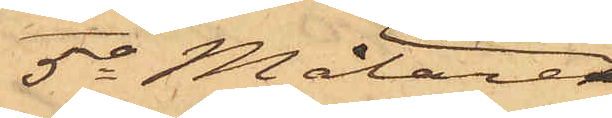5o Målare¬
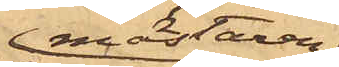mästaren
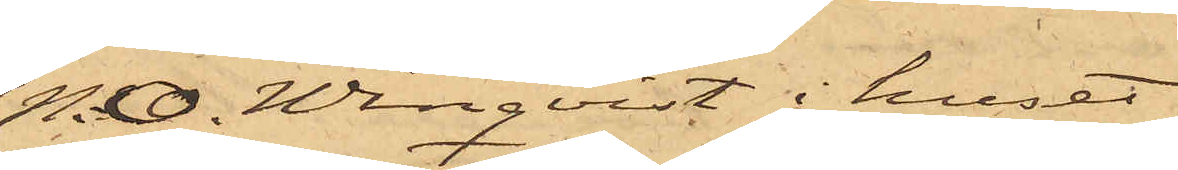N. O. Winqvist i huset
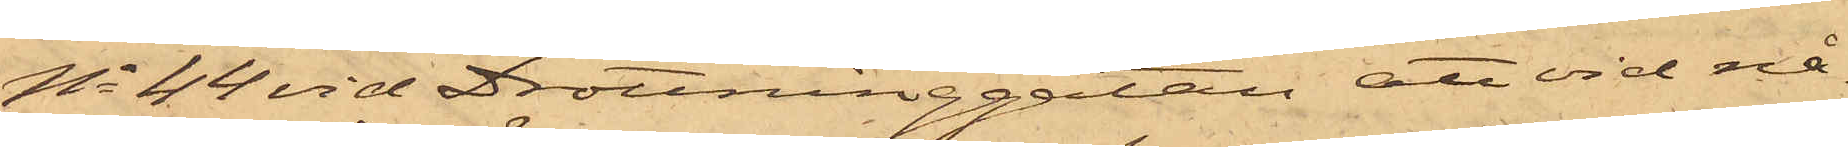No 44 vid Drottninggatan, att vid nå¬
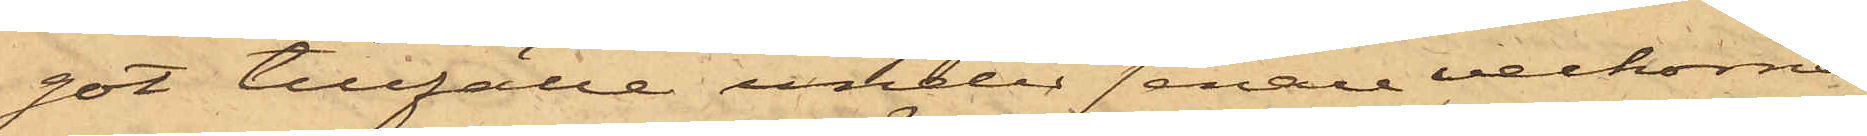got tillfälle under senare veckorna
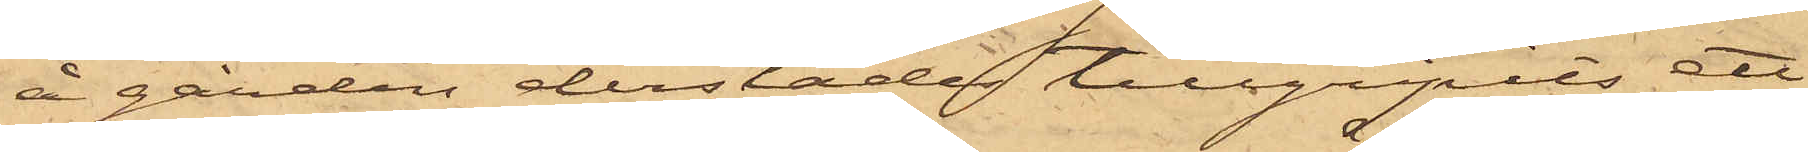å gården derstädes tillgripits ett
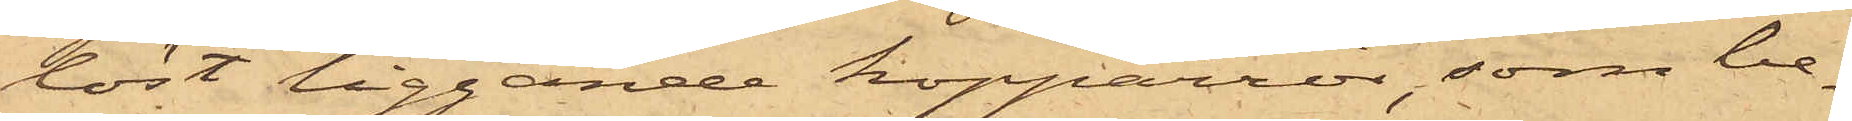löst liggande kopparrör, som be¬
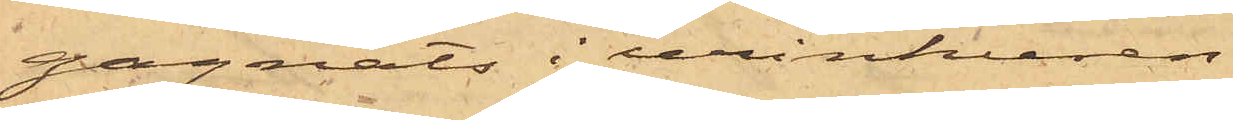gagnats i urinkuren.
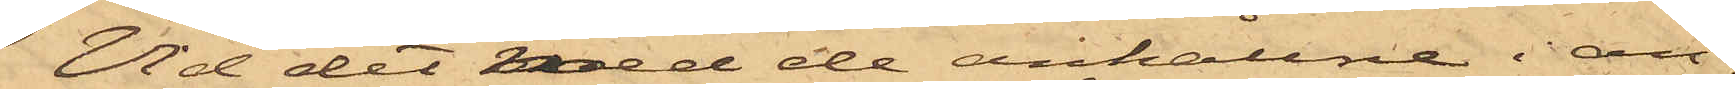Vid det med de anhållne i an¬
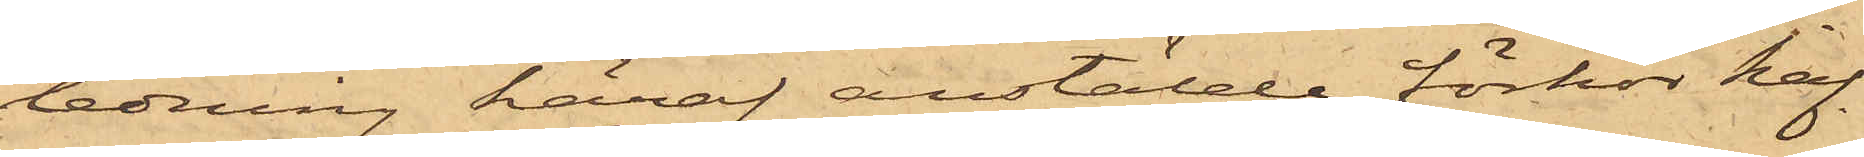ledning häraf anstälde förhör haf¬
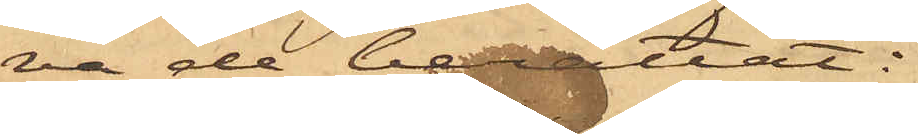va de berättat:
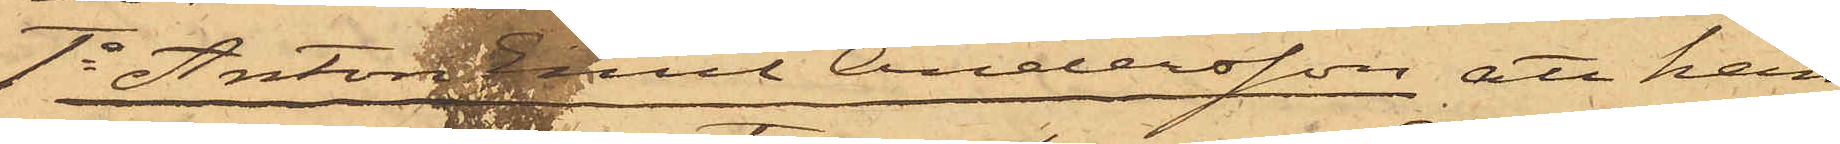1o Anton Emil Andersson, att han
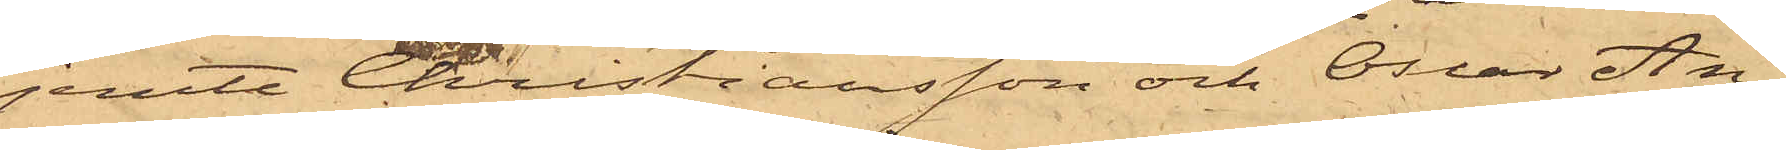jemte Christiansson och Oscar An¬
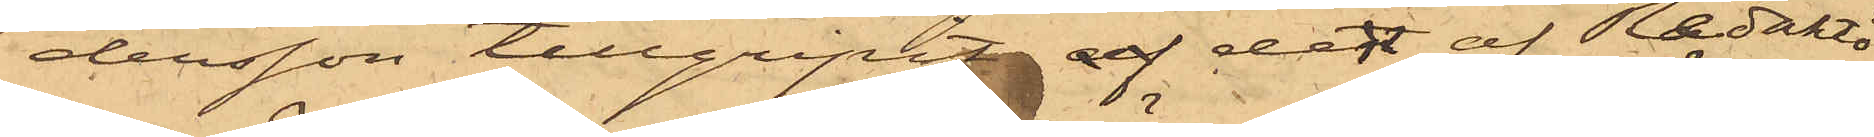dersson tillgripit af den af Redaktö¬
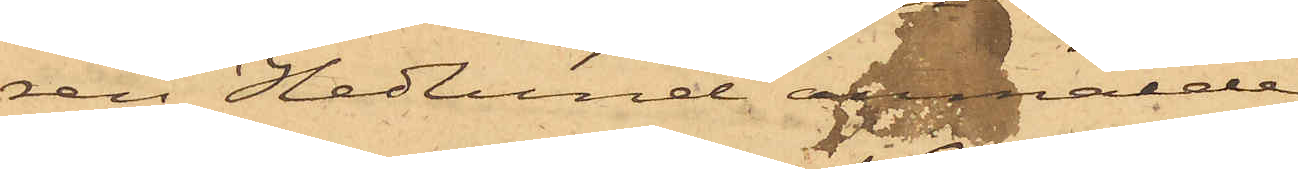ren Hedlund anmälde
